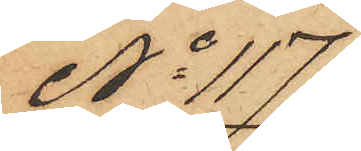No 117
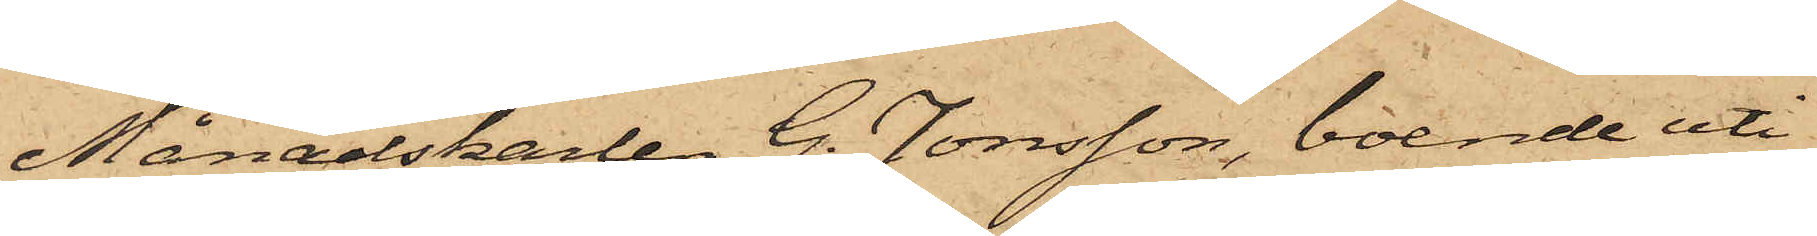Månadskarlen G. Jonsson, boende uti
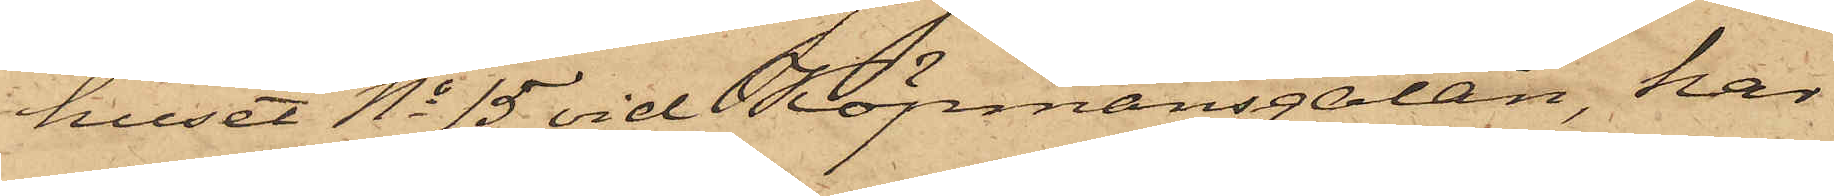huset No 15 vid Köpmansgatan, har
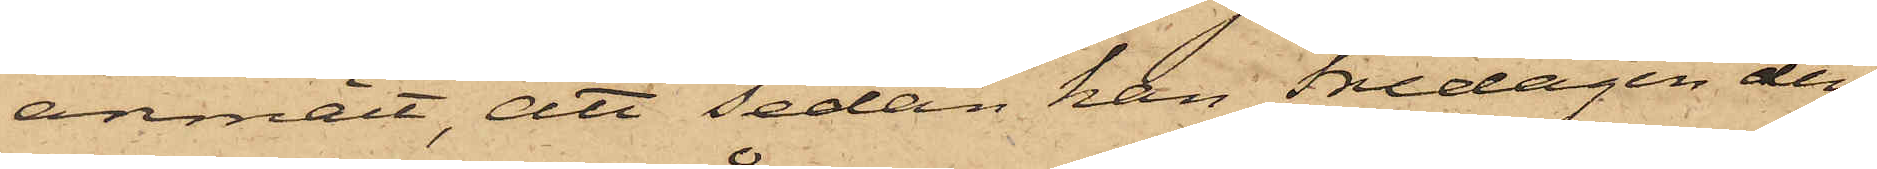anmält, att sedan han Fredagen den
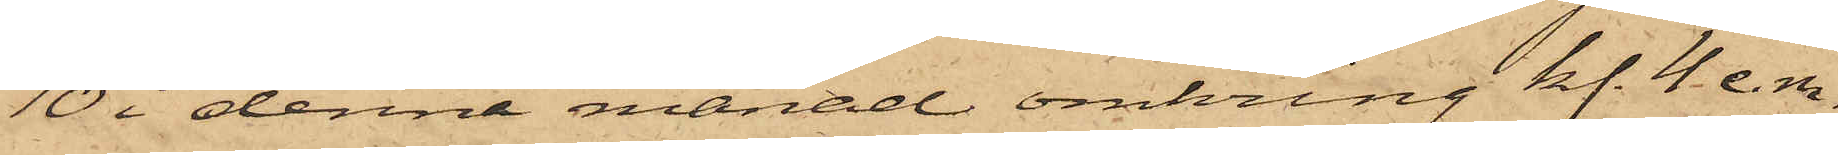10 i denna månad omkring kl. 4 e. m.
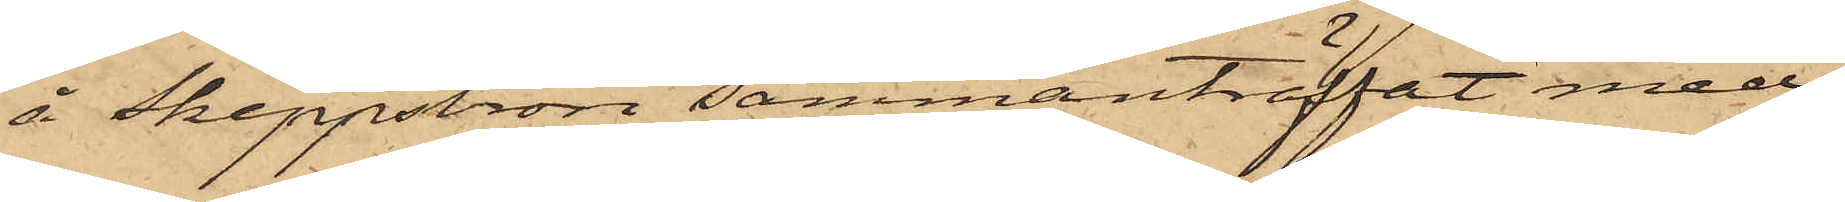å Skeppsbron sammanträffat med
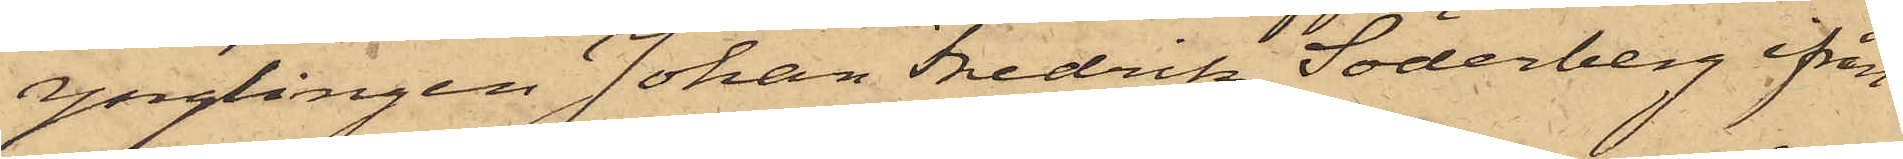ynglingen Johan Fredrik Söderberg från
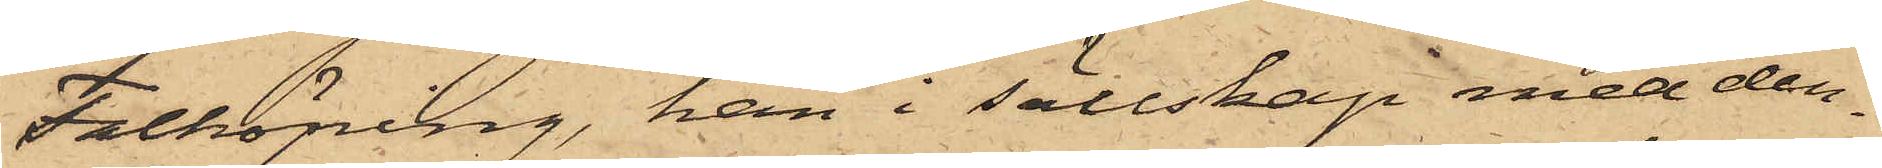Falköping, han i sällskap med den¬
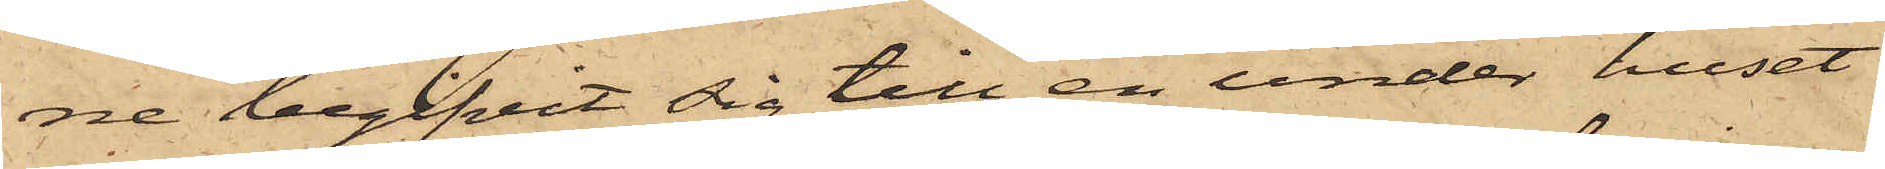ne begifvit sig till en under huset
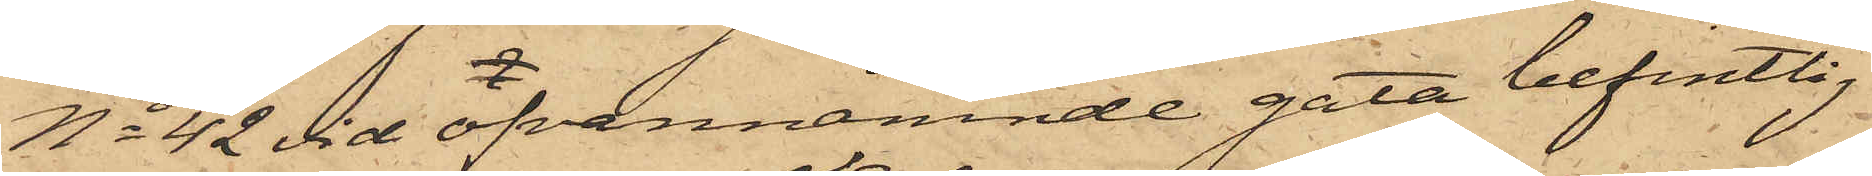No 42 vid ofvannämnde gata befintlig
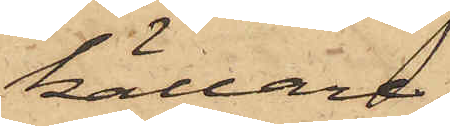källare
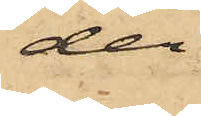der
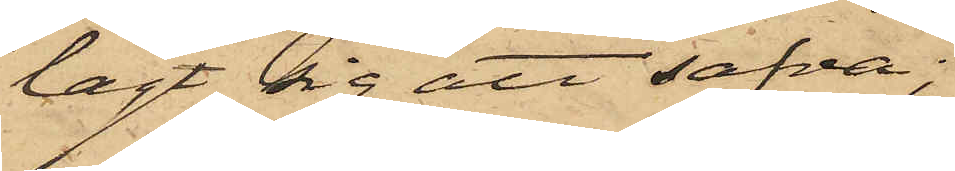lagt sig att sofva;
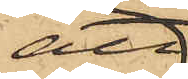att
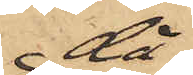då
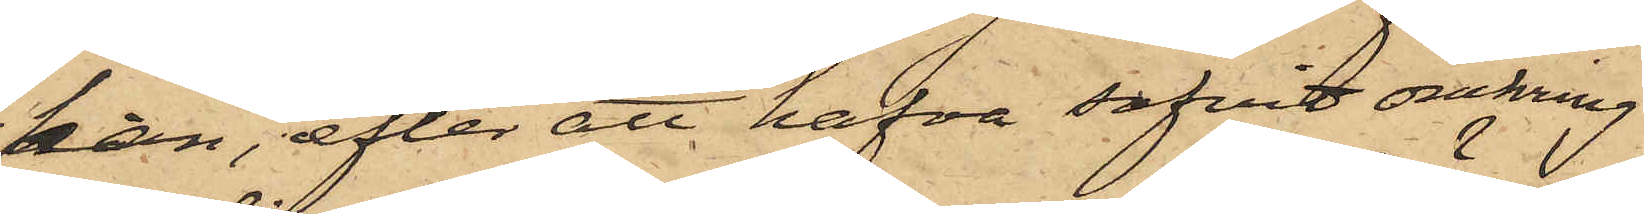han, efter att hafva sofvit omkring
